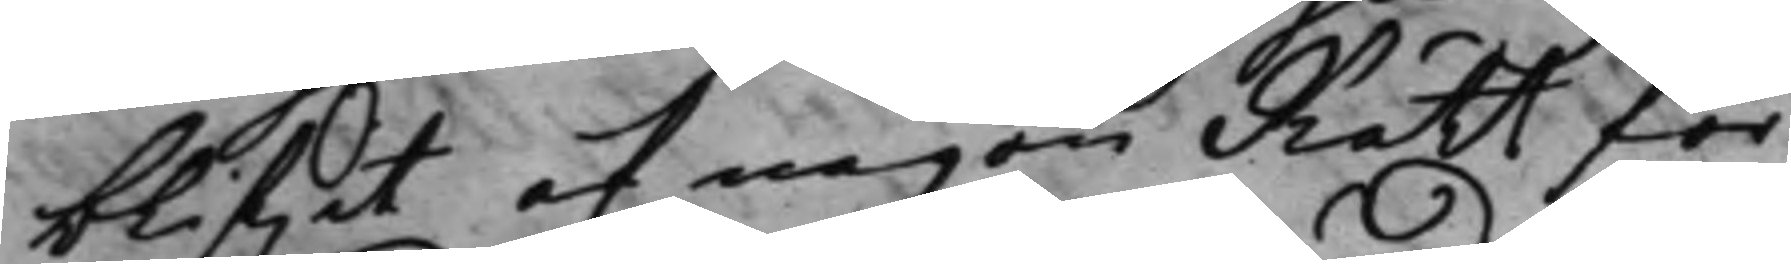blifwit af någon Rätt för¬
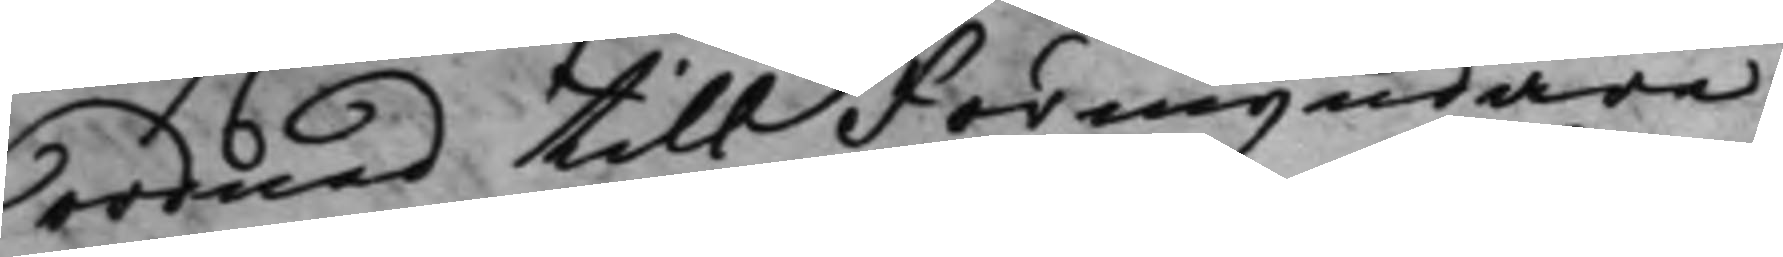ordnad till Förmyndare
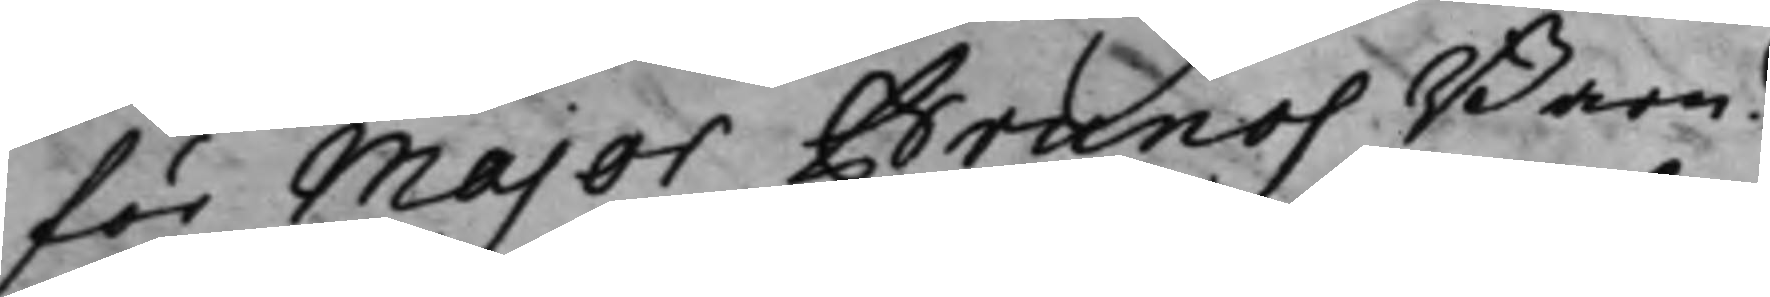för Major Brunos Barn?
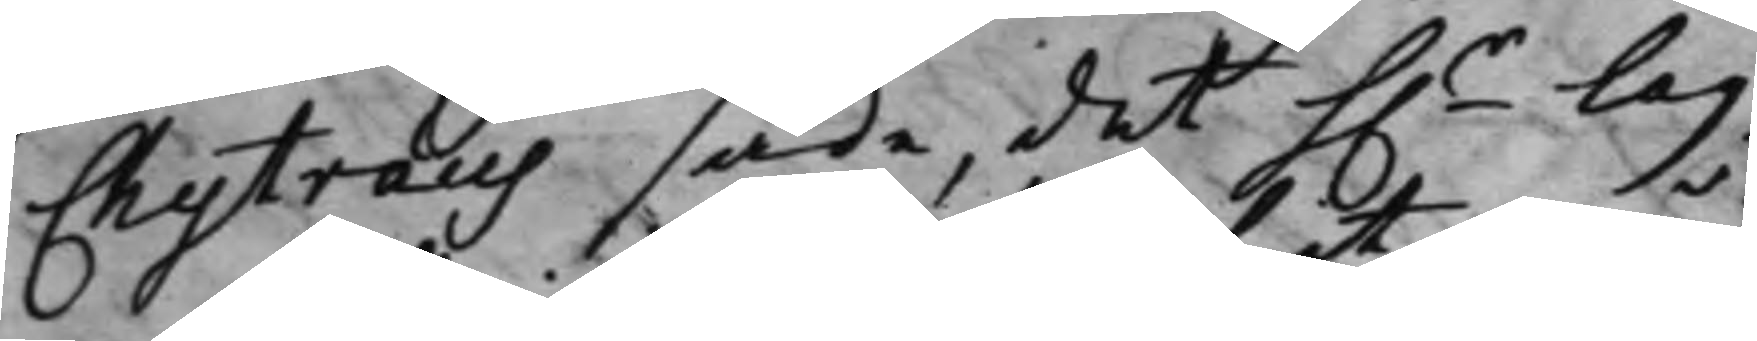Chytræus sade det h.r Lag¬
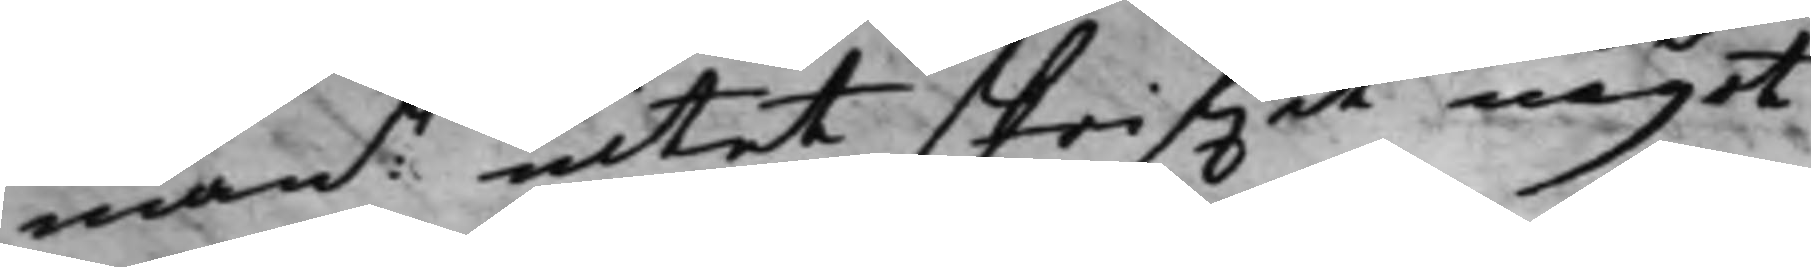mann intet skrifwit något
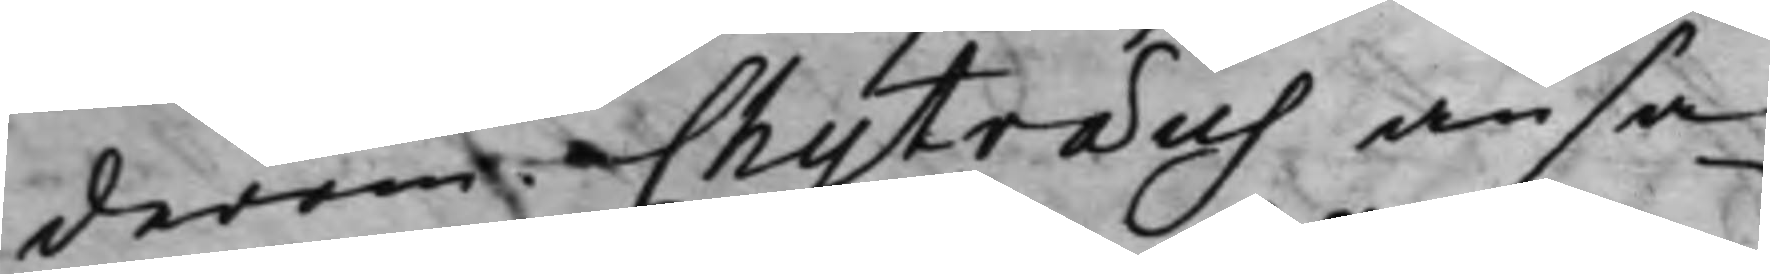derom. Chytræus ansa¬
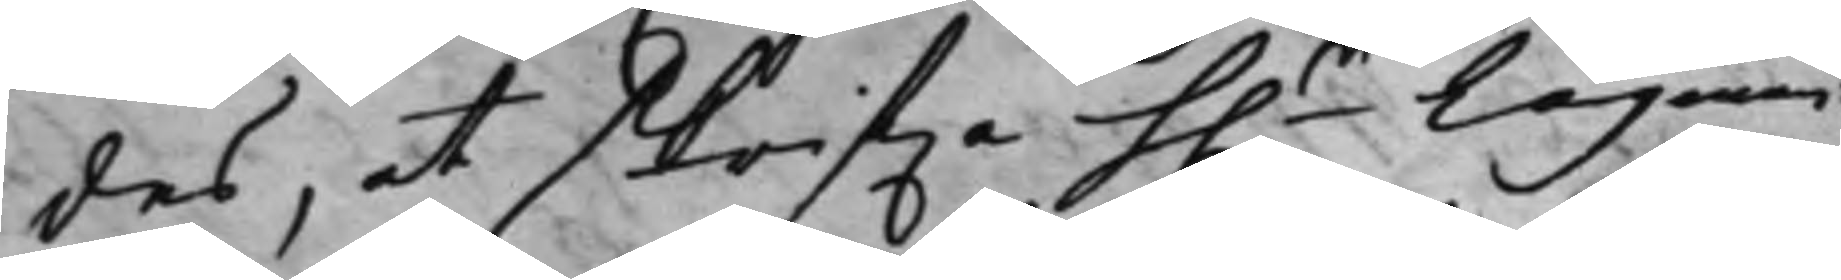des, at Skrifwa h.r Lagman:n
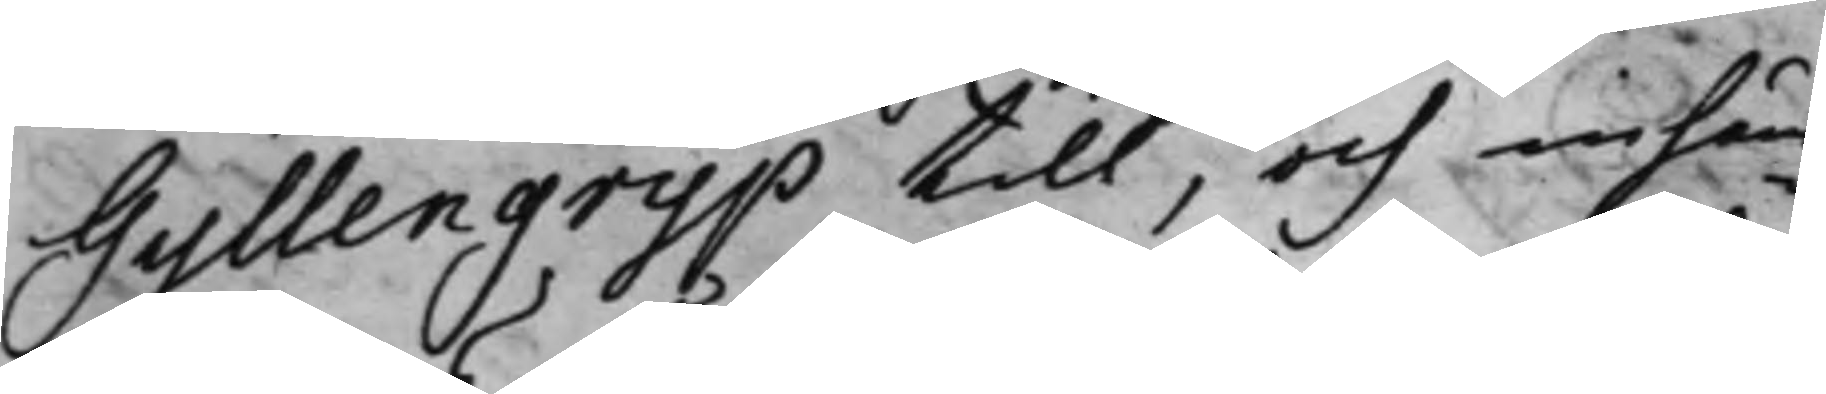Gyllengrijp till, och inhäm¬
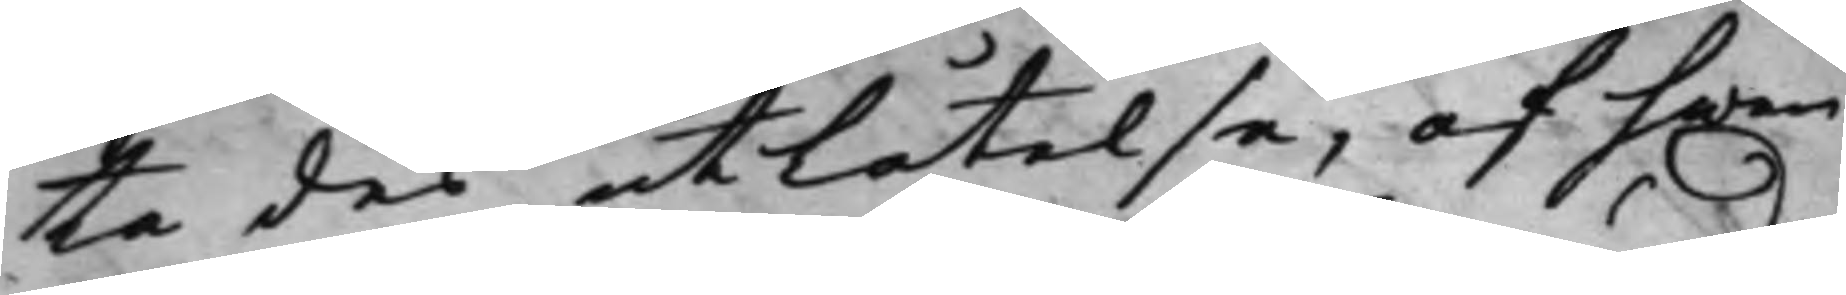ta des utlåtelse, af hwar
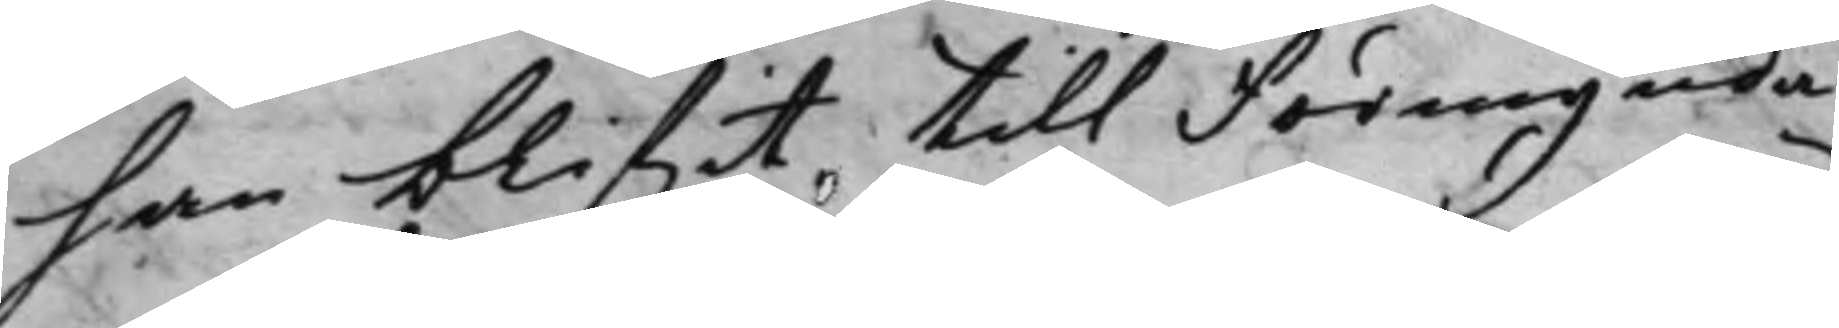han blifwit till Förmynda¬
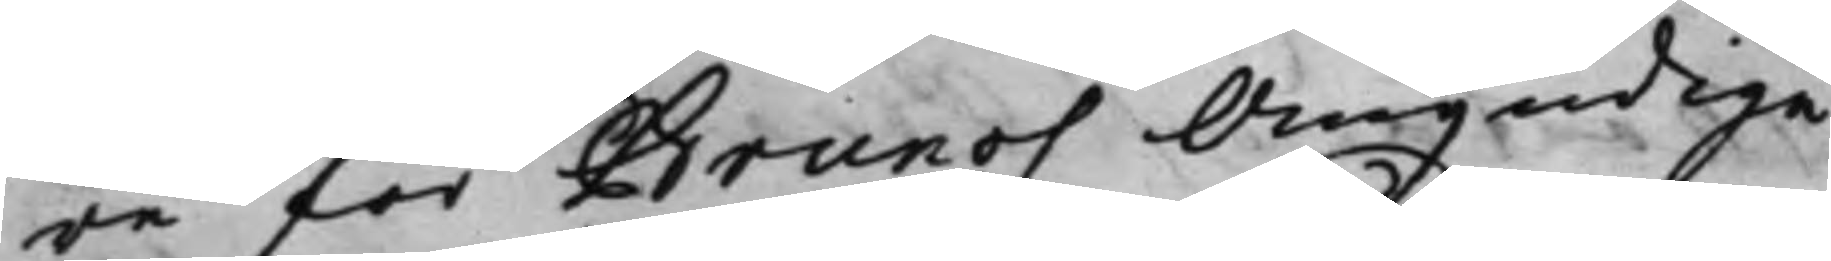re för Brunos Omyndiga
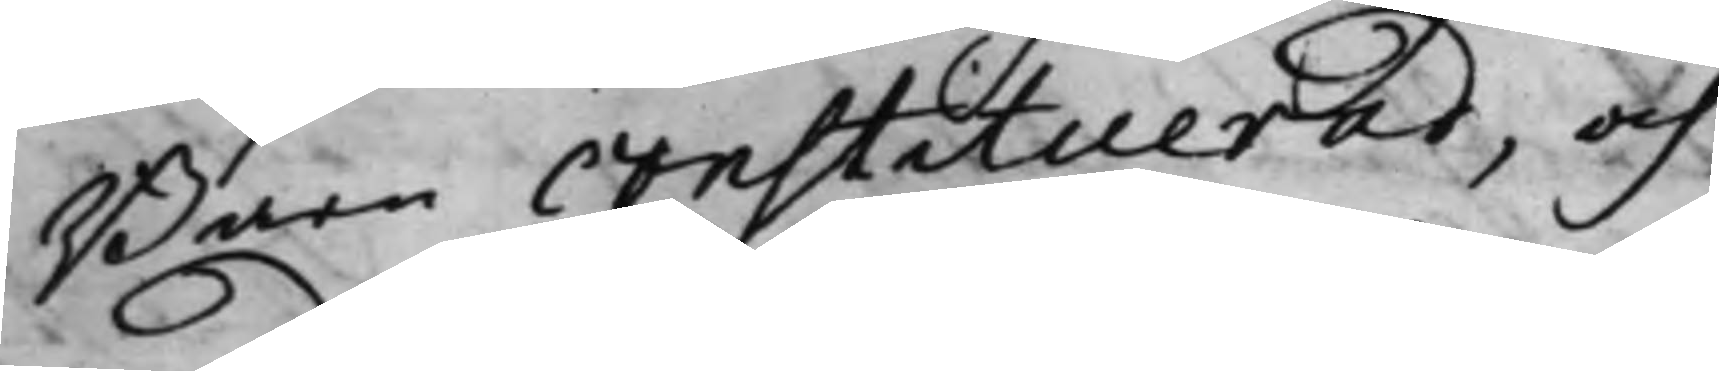Barn constituerad, och
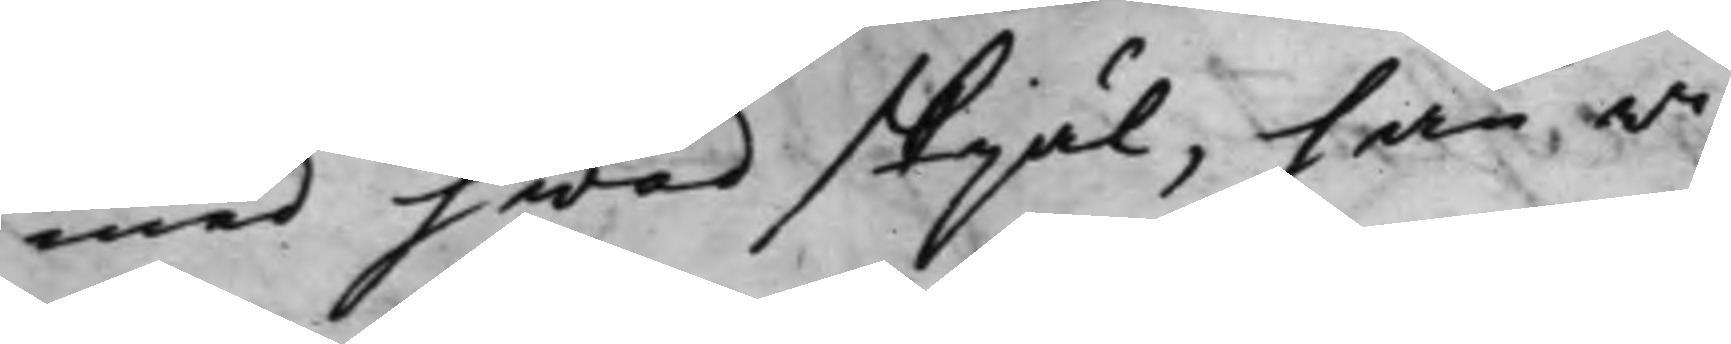med hwad skjäl, han wi¬
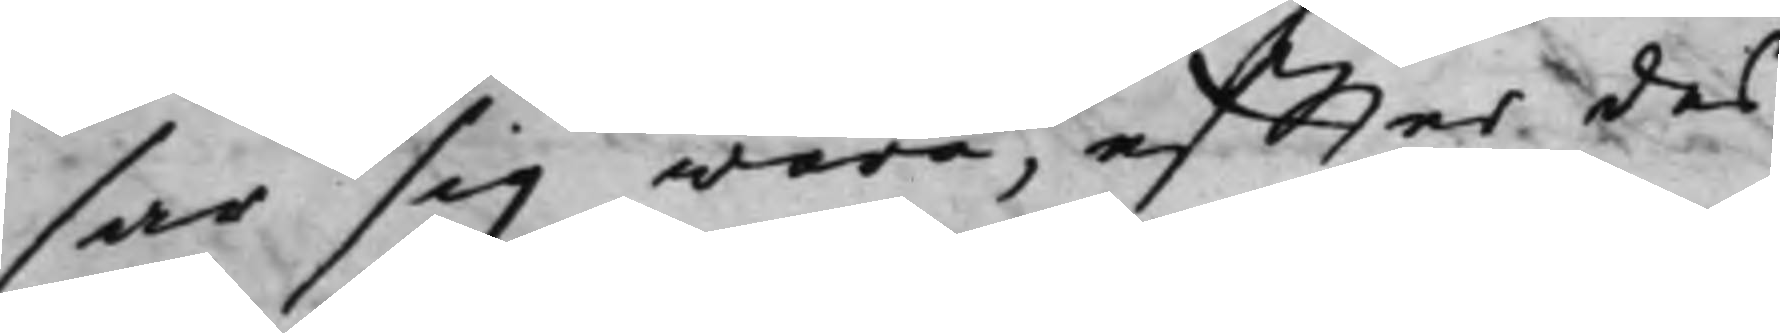sar sig wara, effter des
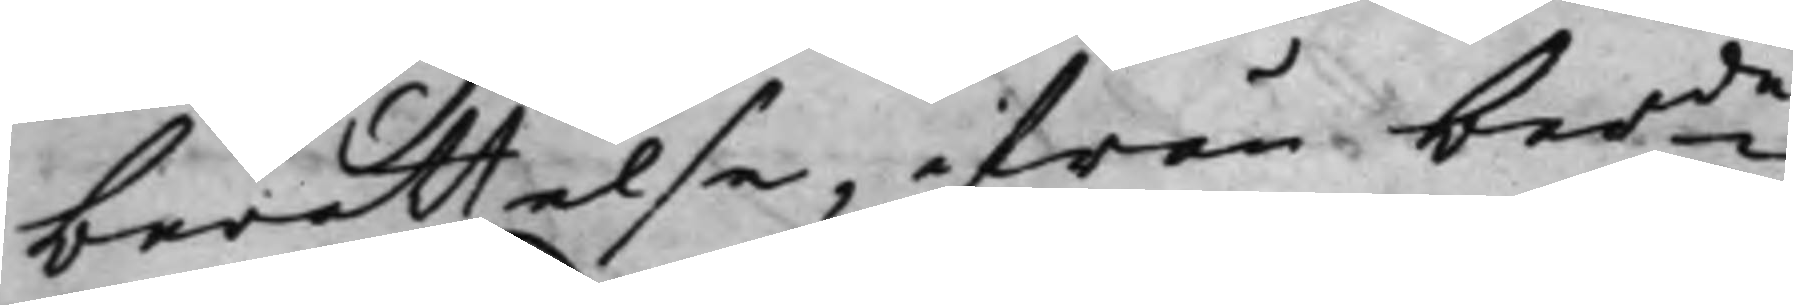berättelse, ifrån bemde
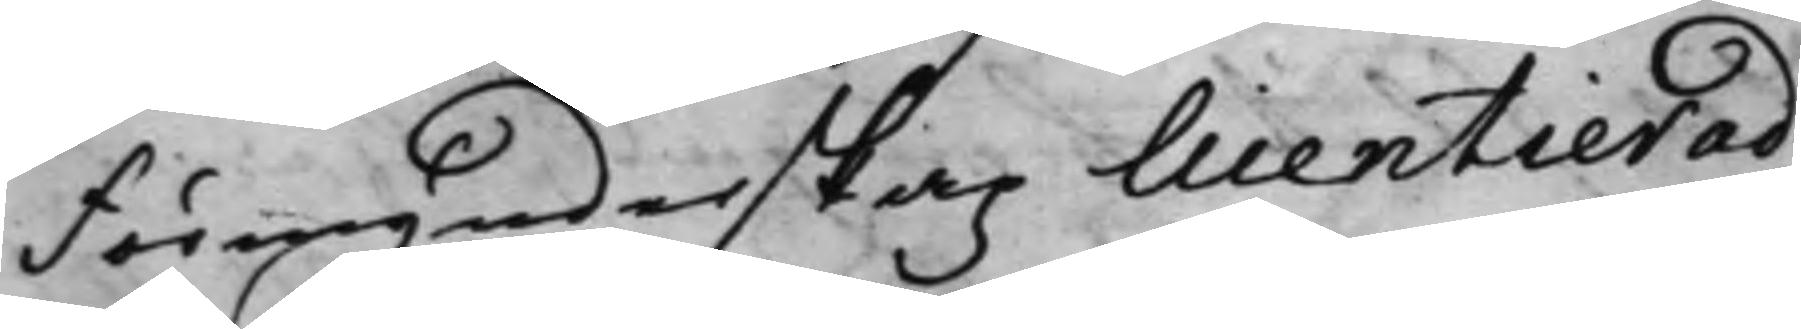Förmynderskap licentierad,
